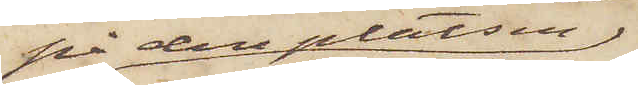på den platsen
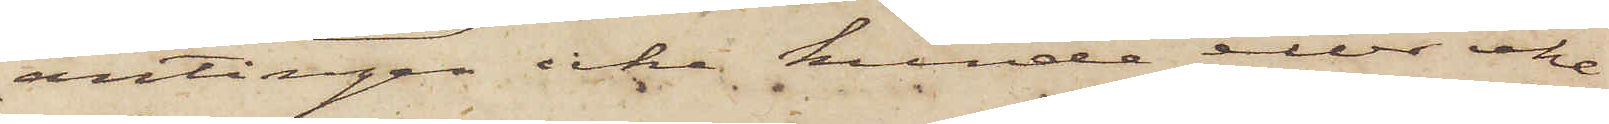antingen icke kunde eller icke
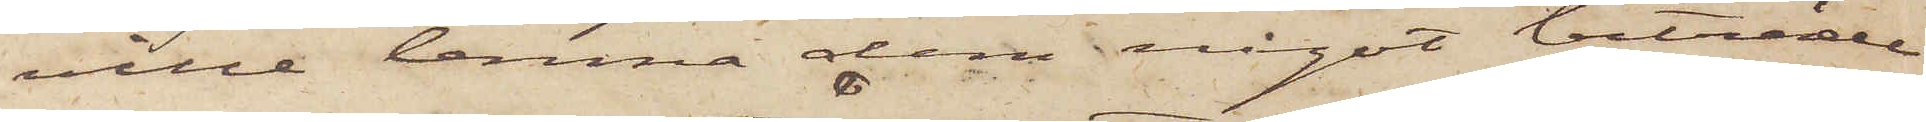ville lemna dem något biträde
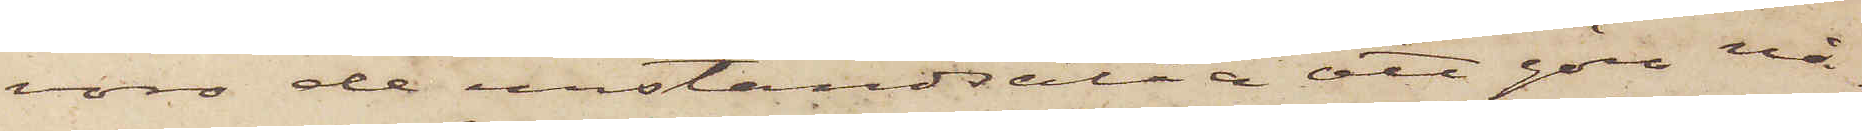voro de urståndsatta att göra nå¬
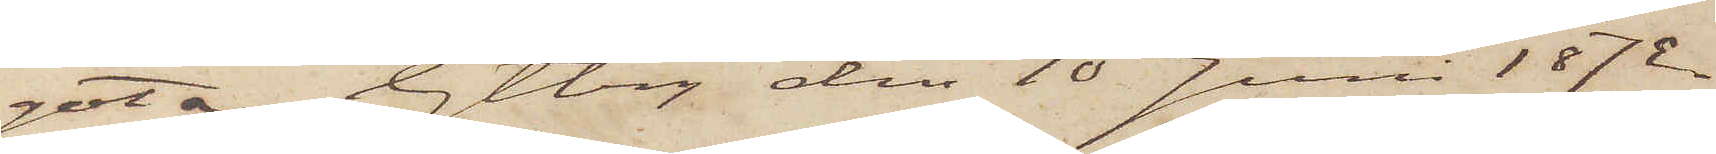got. Gtbrg den 10 Juni 1872.
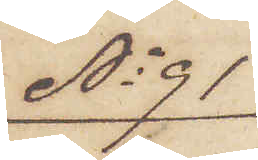No 91
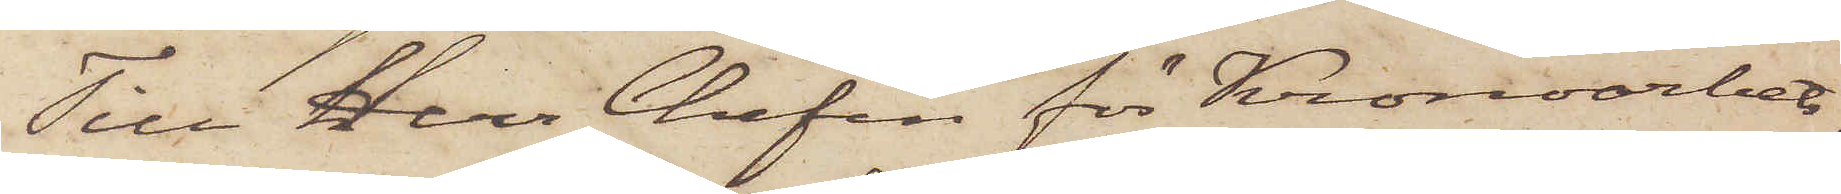Till Herr Chefen för Kronoarbets¬
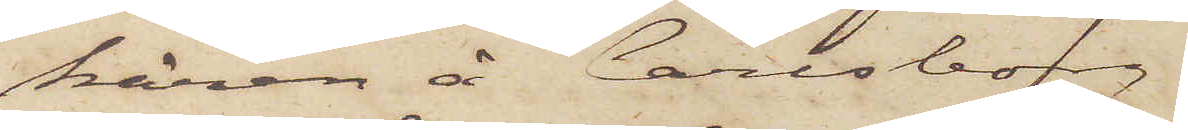kåren å Carlsborg.
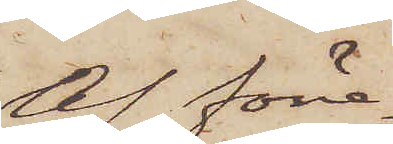Af före¬
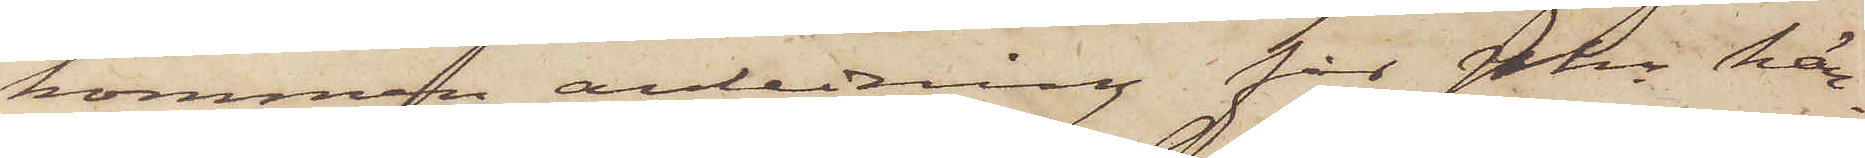kommen anledning får Pkn här¬
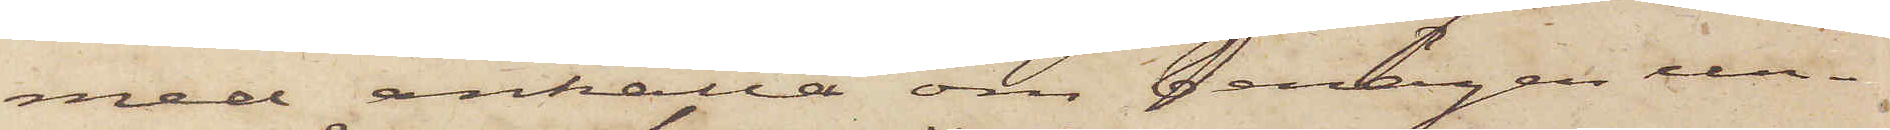med anhålla om benägen un¬
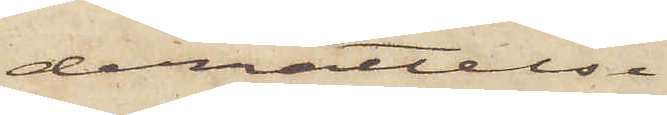derrättelse
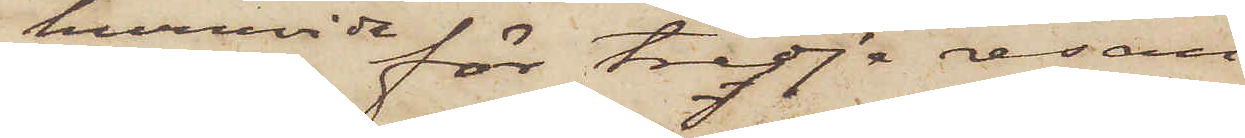huruvida för tredje resan
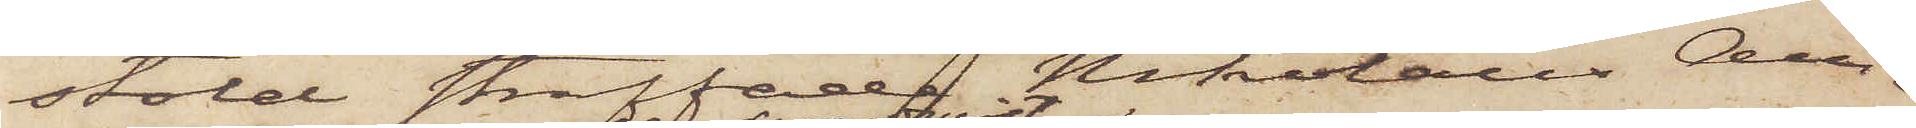stöld straffade Nikolaus An¬
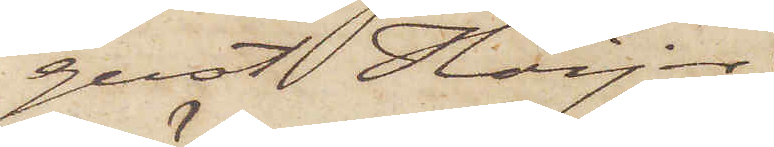gust Höijer
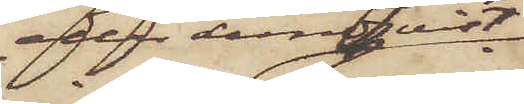eller Lundqvist,
